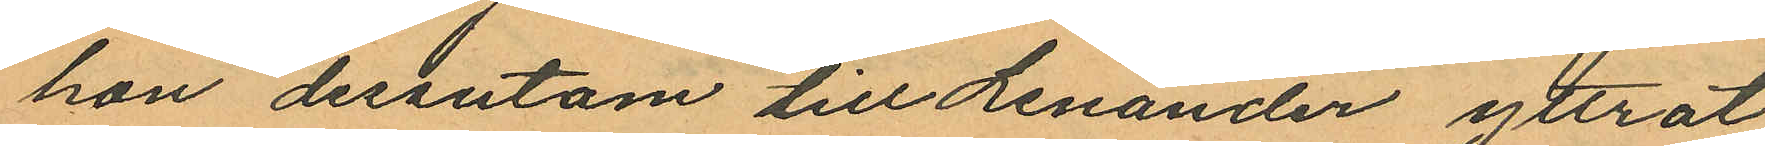han dessutom till Lenander yttrat
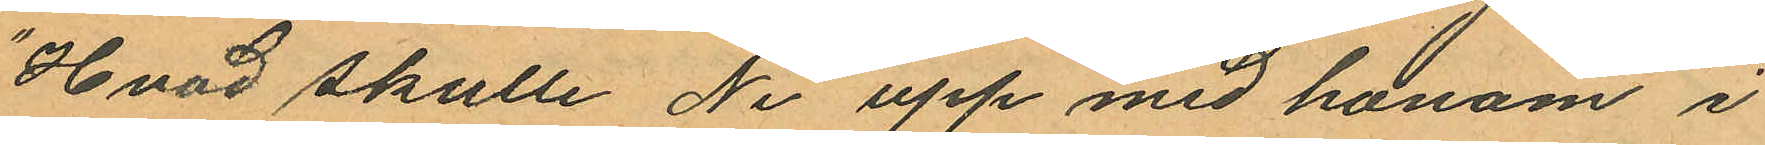"Hvad skulle Ni upp med honom i
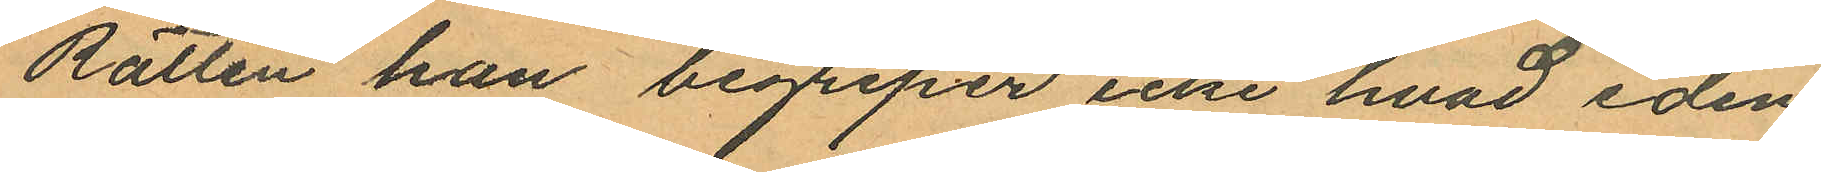Rätten han begriper icke hvad eden
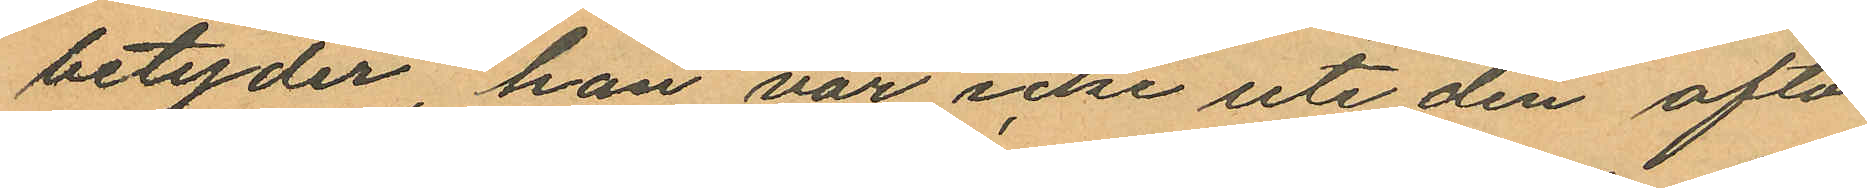betyder, han var icke ute den afto¬
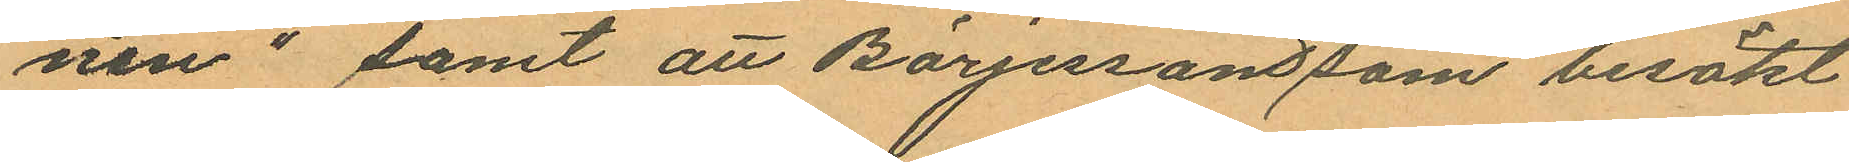nen" samt att Börjesson som besökt
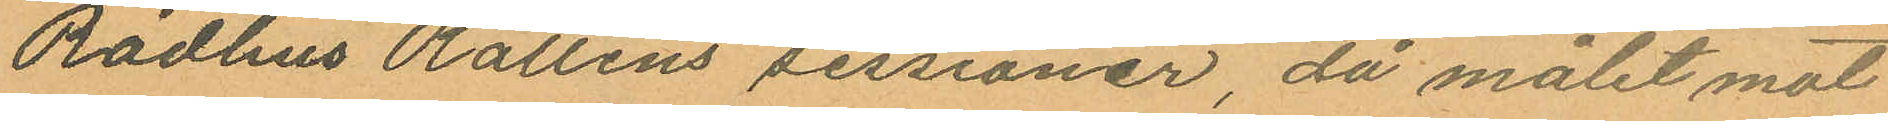Rådhus Rättens sessioner, då målet mot
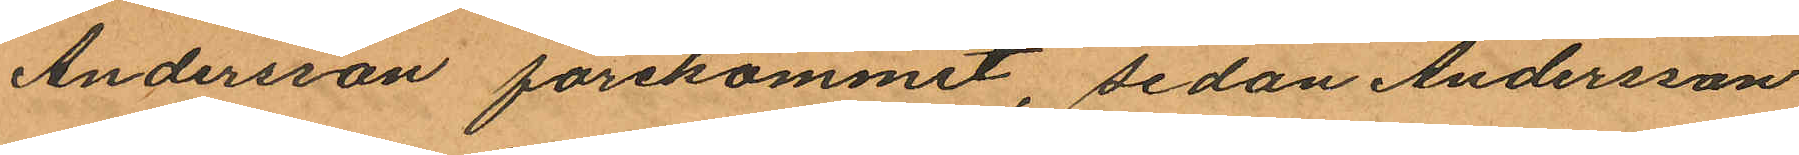Andersson förekommit, sedan Andersson
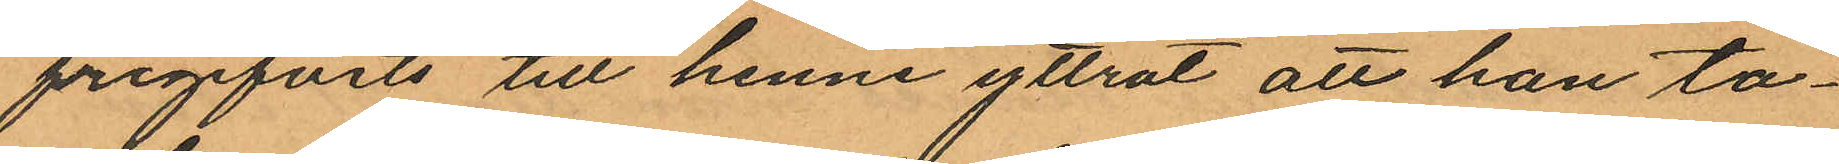frigifvits till henne yttrat att han ta¬
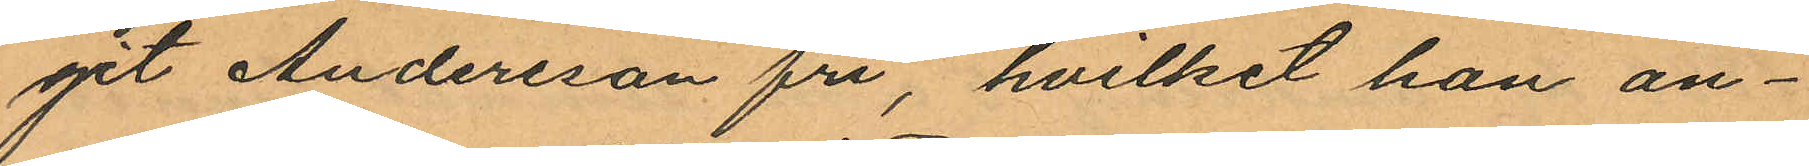get Andersson fri, hvilket han an¬
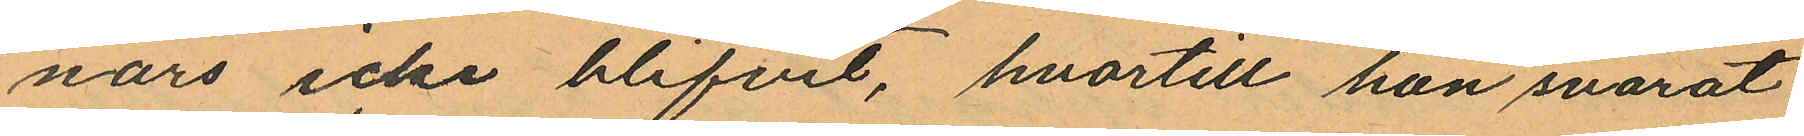nars icke blifvit, hvartill han svarat
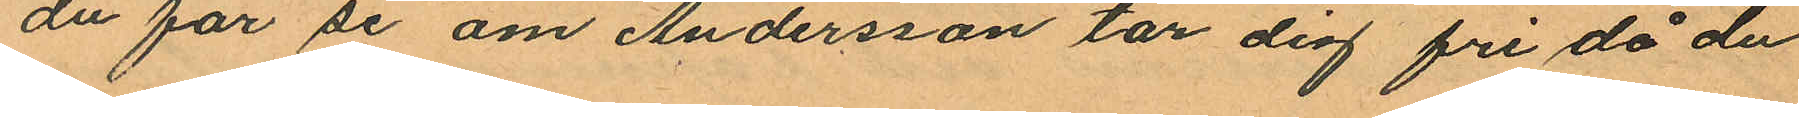du för se om Andersson tar dig fri då du
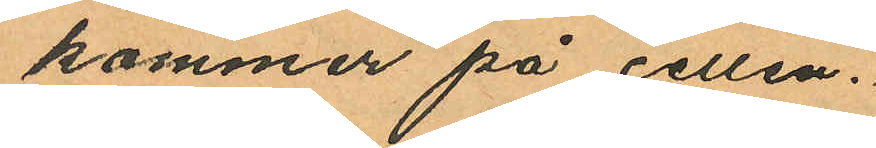kommer på cellen.
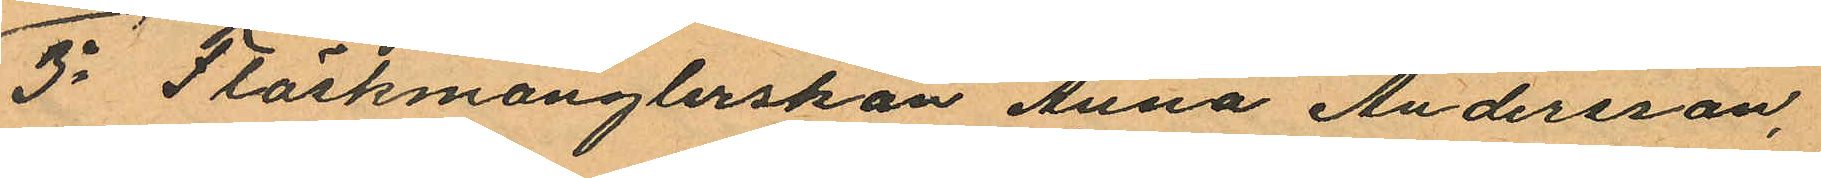3o Fläskmånglerskan Anna Andersson,
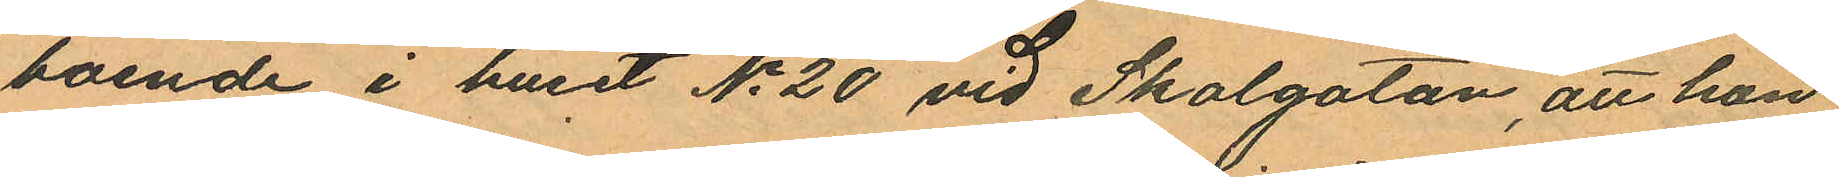boende i huset No 20 vid Skolgatan, att hon
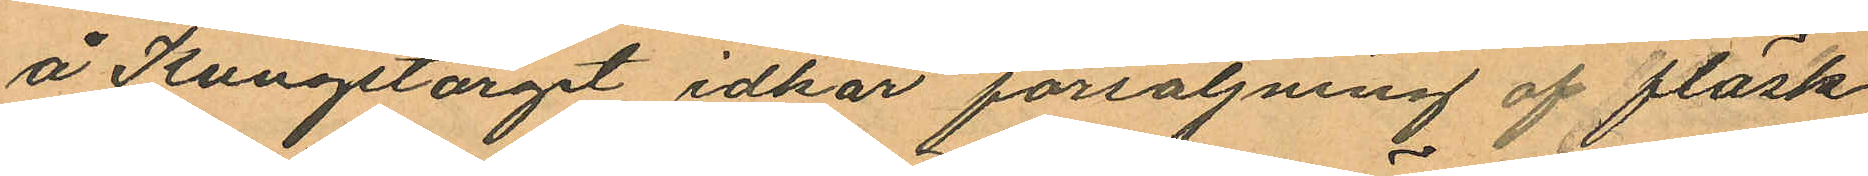å Kungstorget idkar försäljning af fläsk
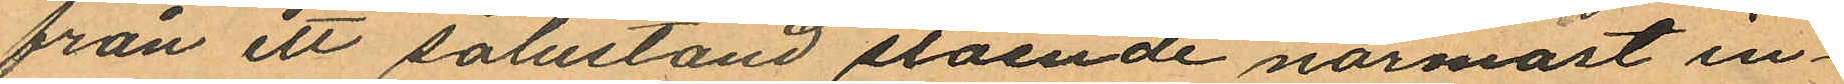från ett salustånd stående närmast in¬
